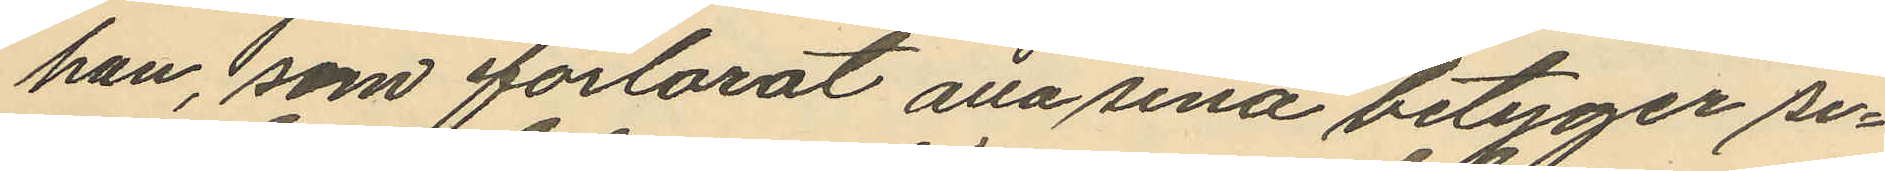han, som förlorat alla sina betyger se¬
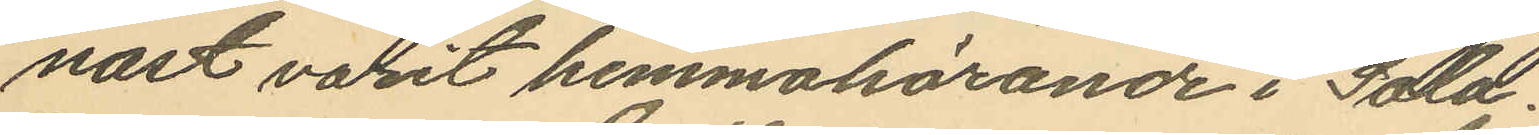nast varit hemmahörande i Sala.
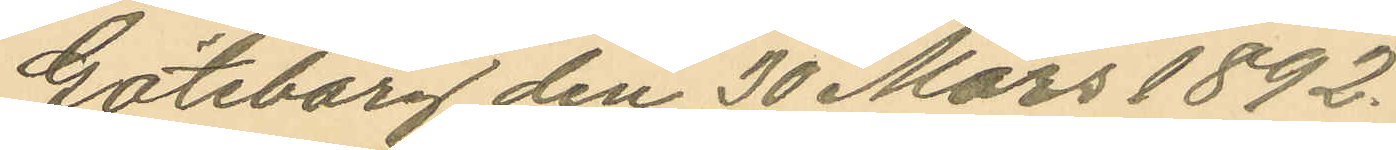Göteborg den 30 Mars 1892.
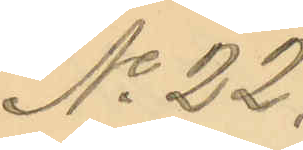No 22.
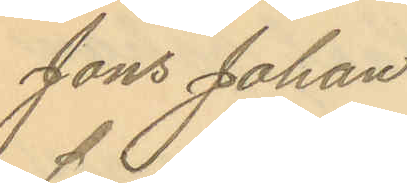Jöns Johan
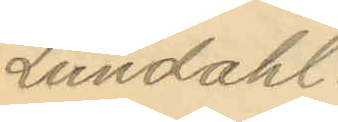Lundahl.
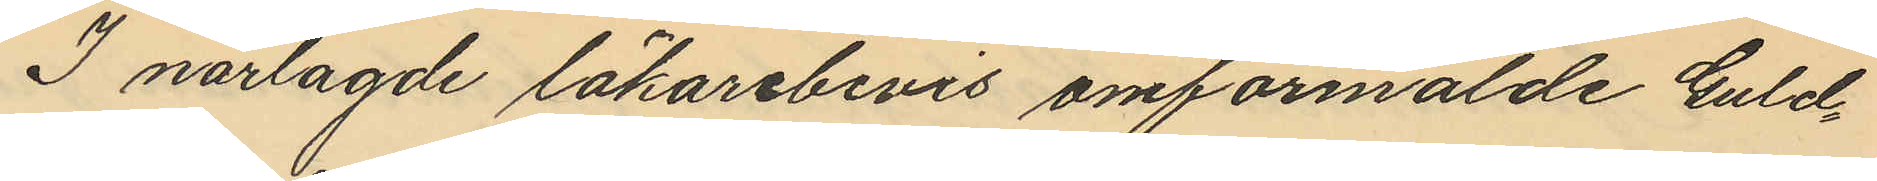I närlagde läkarebevis omförmälde Guld¬
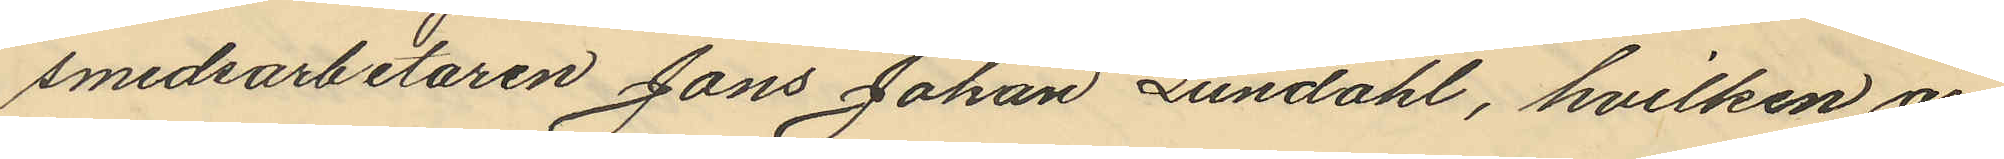smedsarbetaren Jöns Johan Lundahl, hvilken är
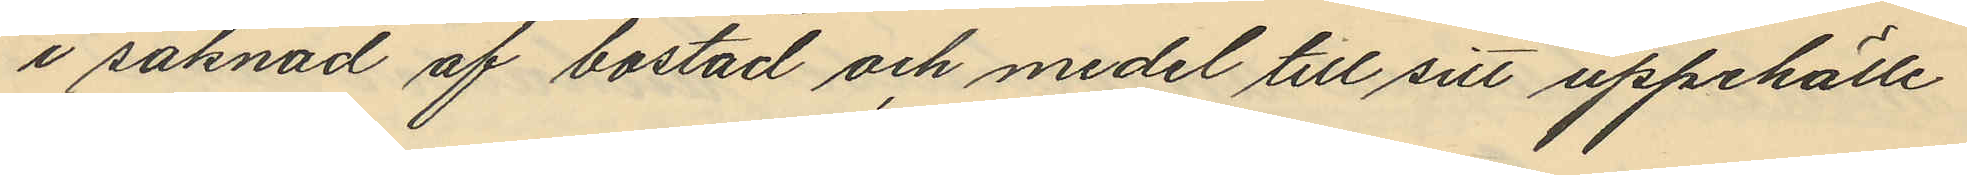i saknad af bostad och medel till sitt uppehälle
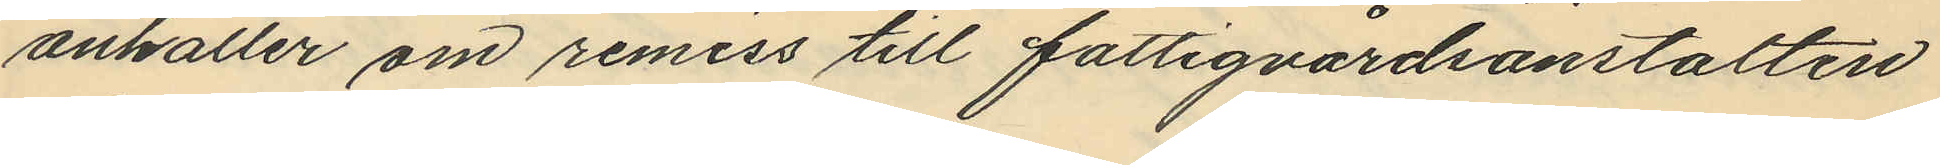anhåller om remiss till fattigvårdsanstalten
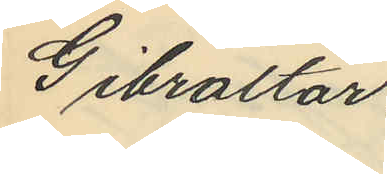Gibraltar.
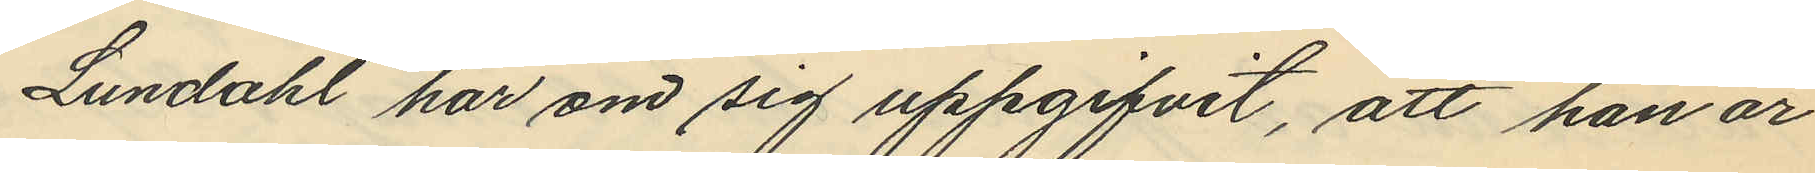Lundahl har om sig uppgifvit, att han är
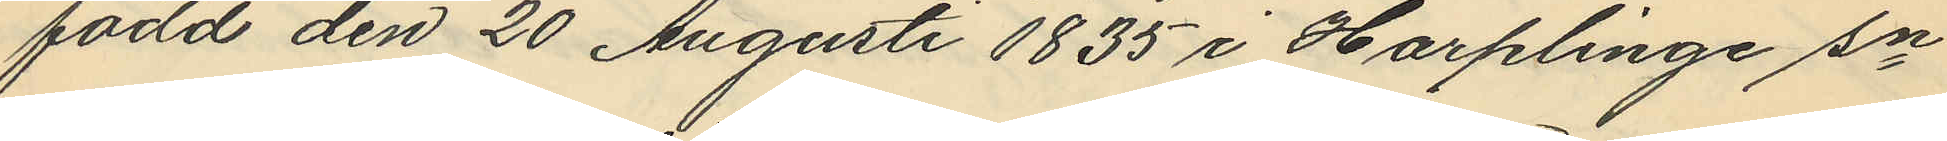född den 20 Augusti 1835 i Harplinge sn
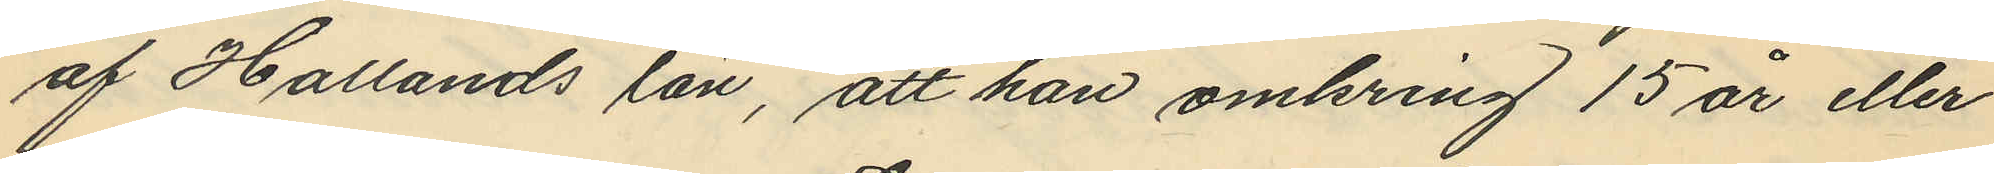af Hallands län, att han omkring 15 år eller
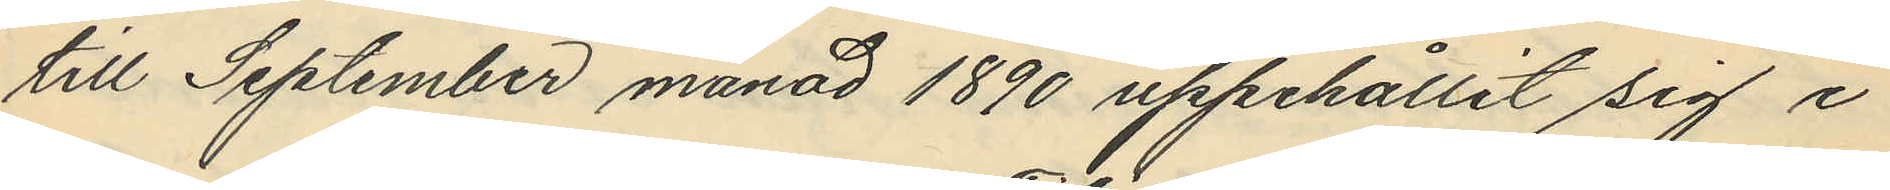till September månad 1890 uppehållit sig i
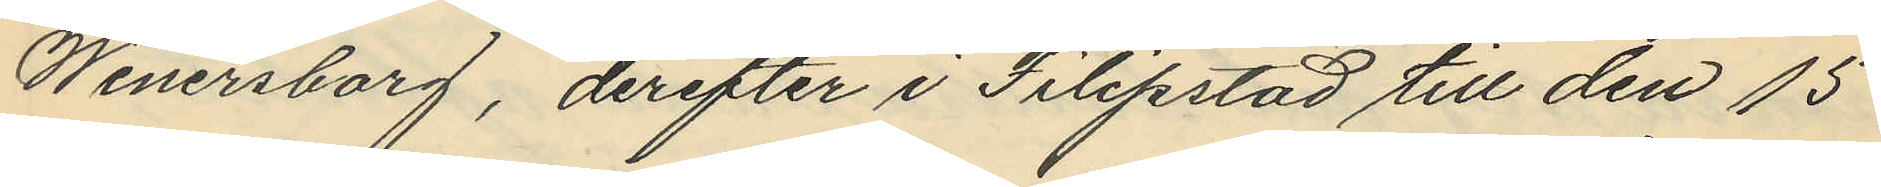Wenersborg, derefter i Filipstad till den 15
